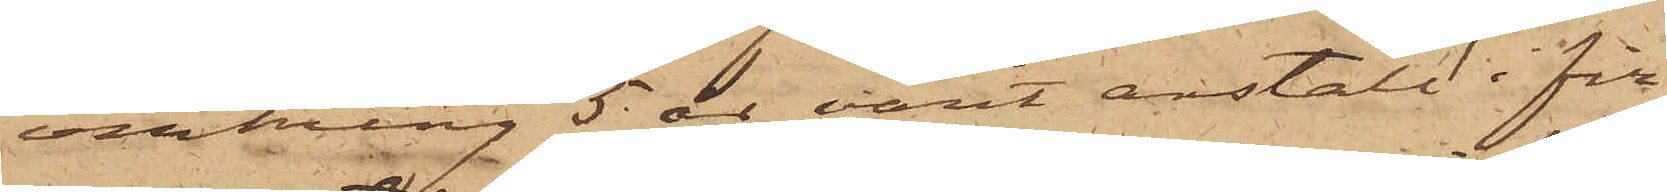omkring 5 år varit anstäld i fir¬
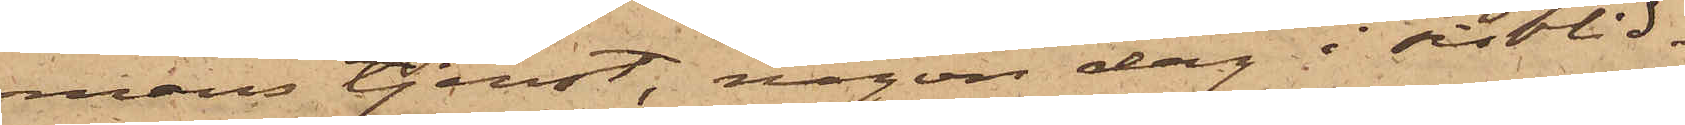mans tjenst, någon dag i sistlid¬
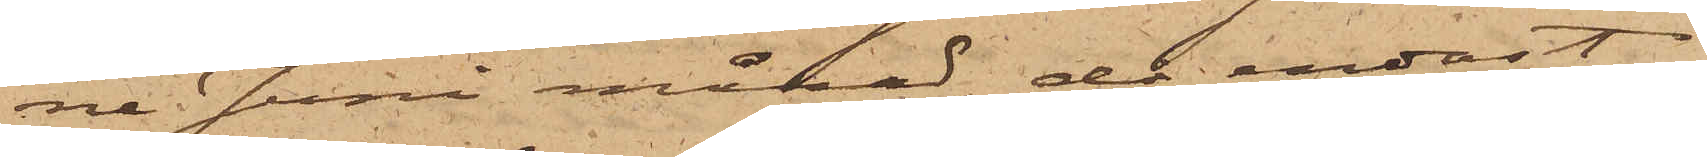ne Juni månad, då endast
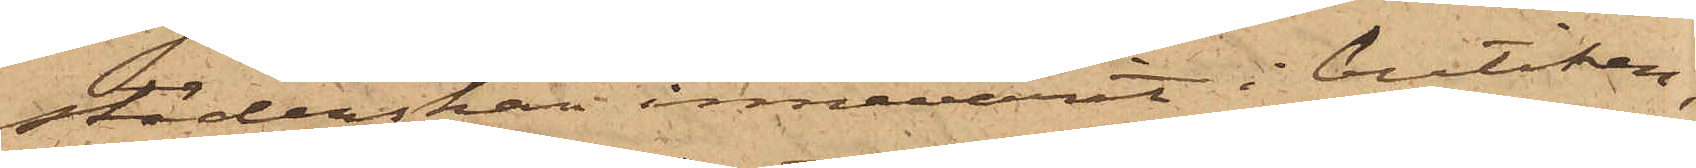städerskan innevarit i butiken,
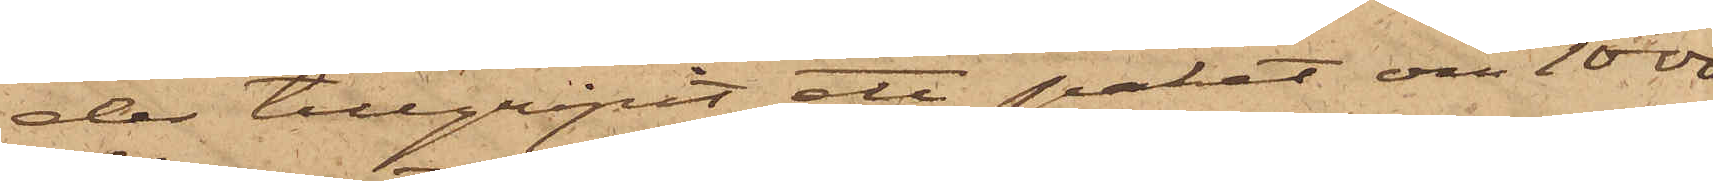der tillgripit ett paket om 1000
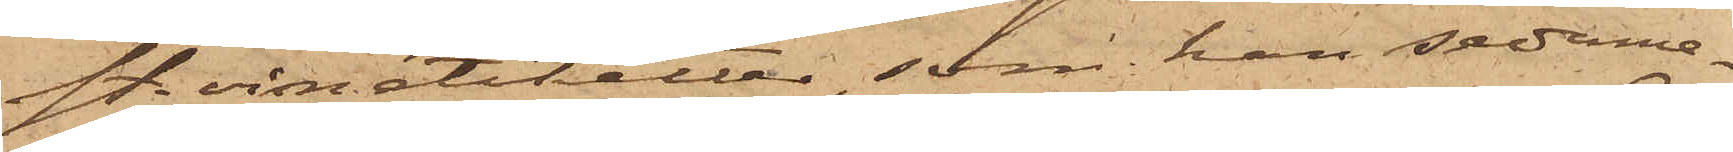st vinetiketter, som han sedeme¬
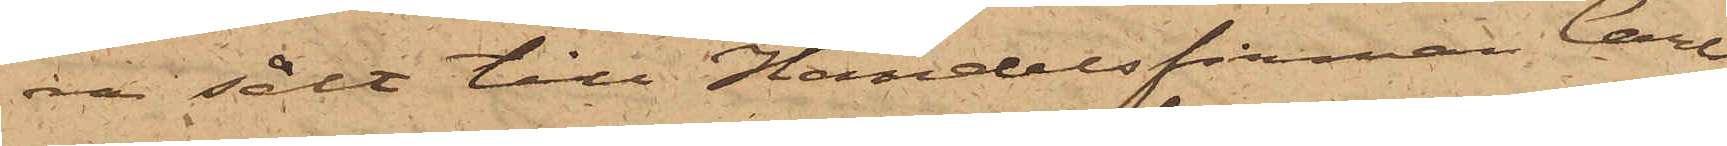ra sålt till Handelsfirman Carl¬
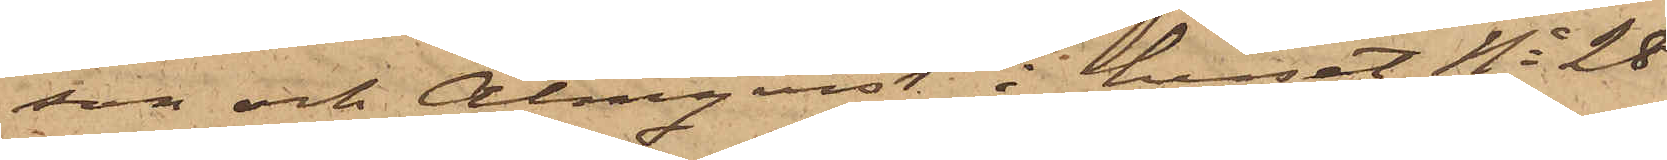son och Almqvist i huset No 28
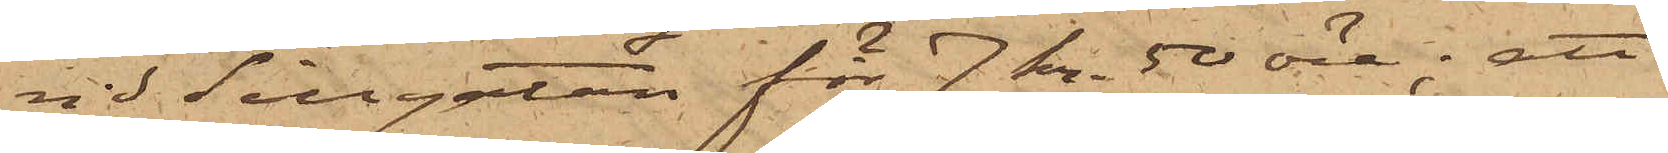vid Sillgatan för 7 kr 50 öre; att
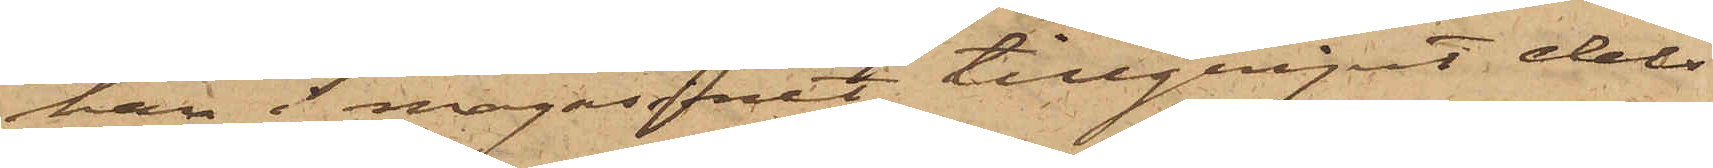han i magasinet tillgripit dels
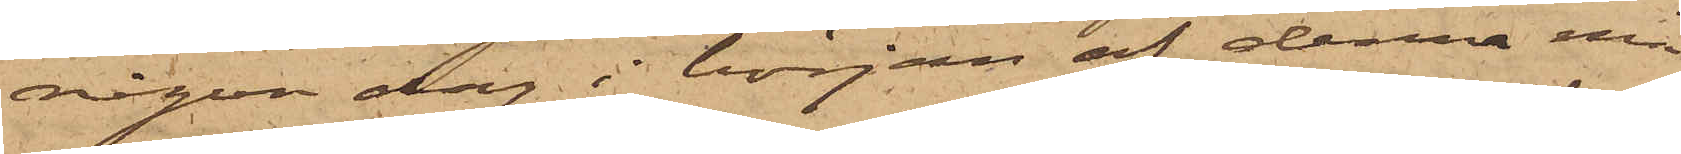någon dag i början af denna må¬
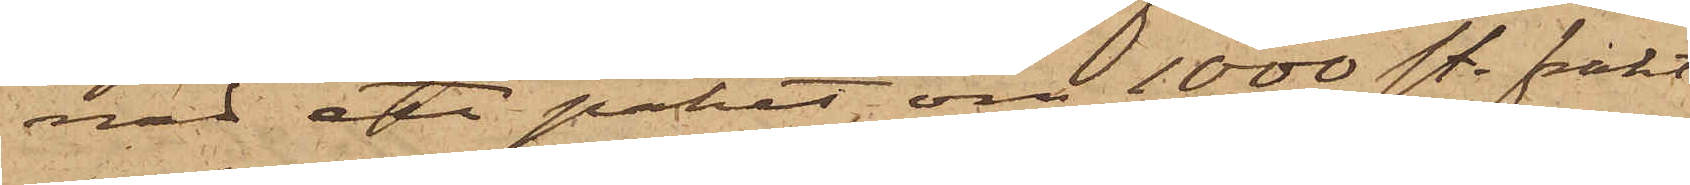nat ett paket om 1000 st. frakt¬
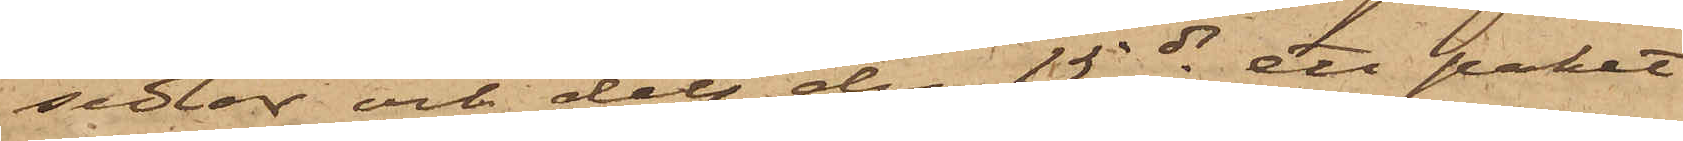sedlar och dels den 15 ds ett paket
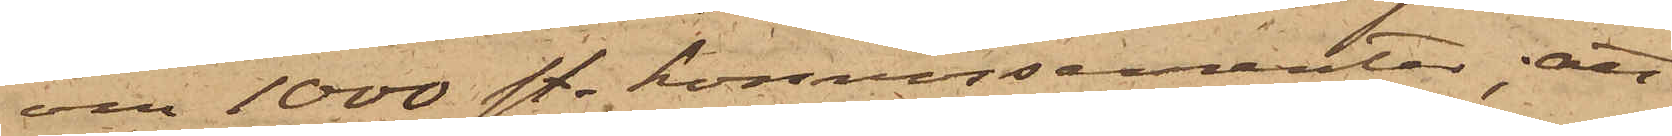om 1000 st. konnossementer; att
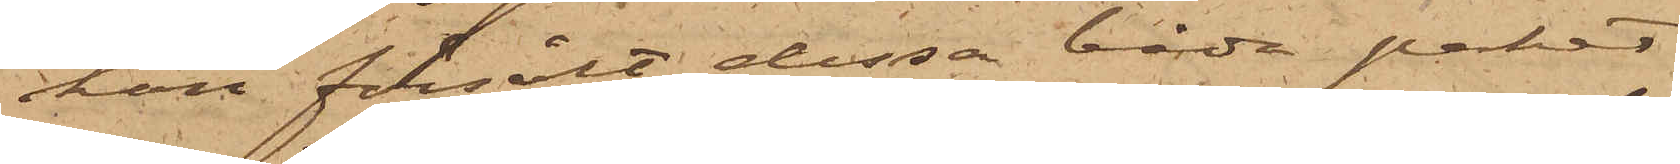han försålt dessa båda paket
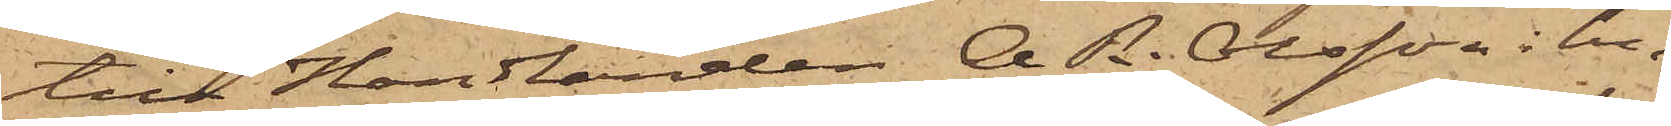till Handlanden A. R. Olsson i hu¬
